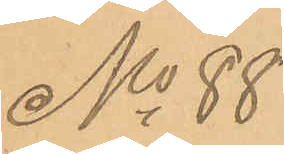No 88
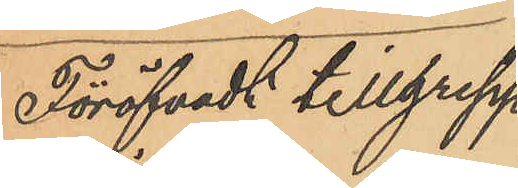Föröfvadt tillgrepp
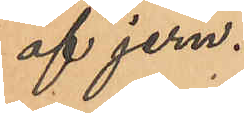af jern.
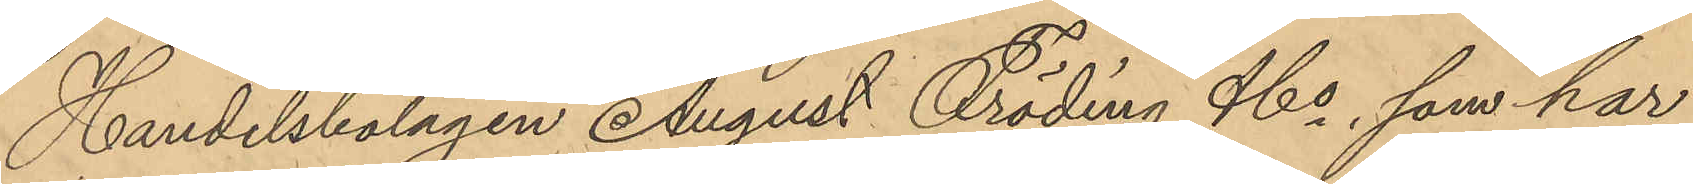Handelsbolagen August Fröding & Co, som har
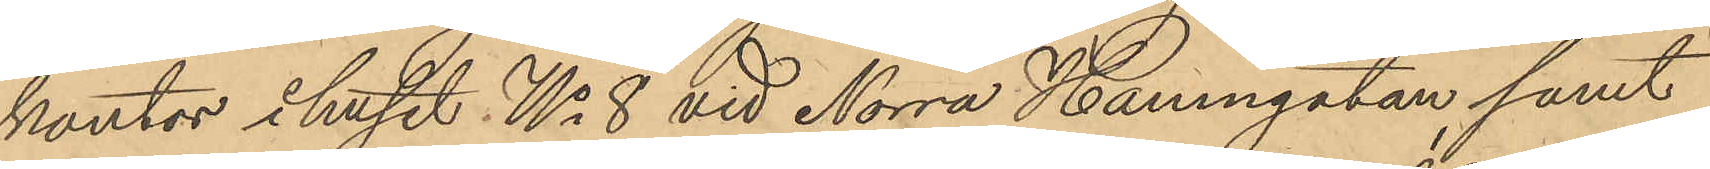kontor i huset No 8 vid Norra Hamngatan, samt
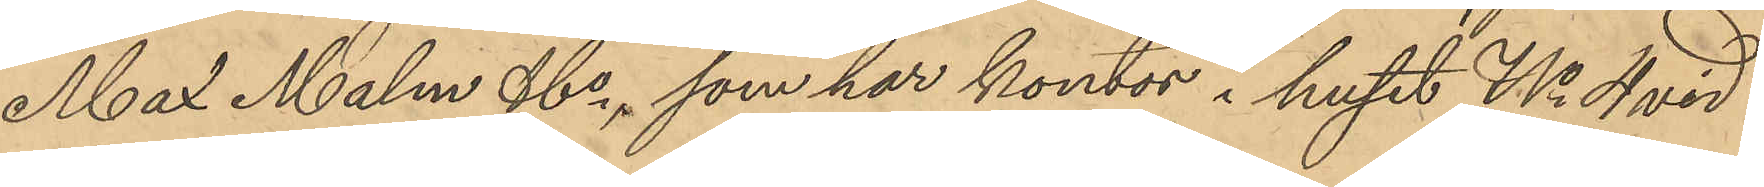Max Malm & Co, som har kontor i huset No 4 vid
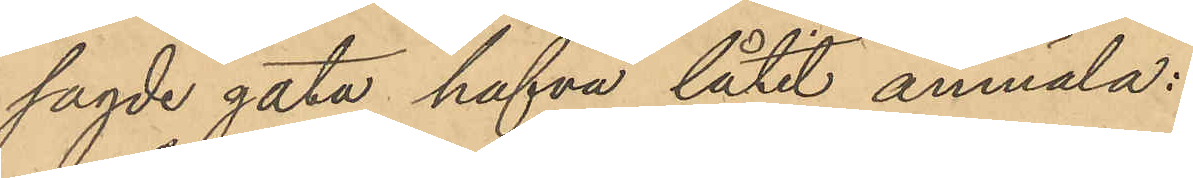sagde gata hafva låtit anmäla:
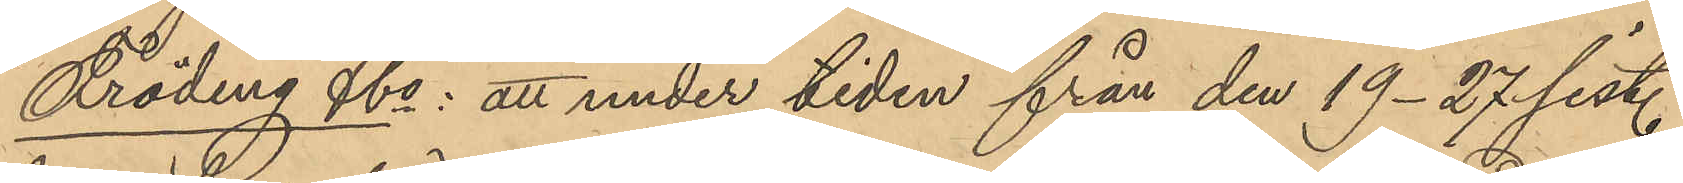Fröding & Co: att under tiden från den 19-27 sist.
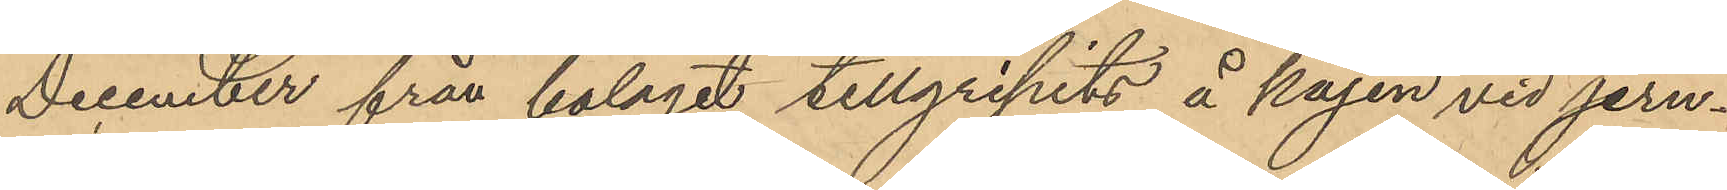December från bolaget tillgripits å kajen vid jern¬
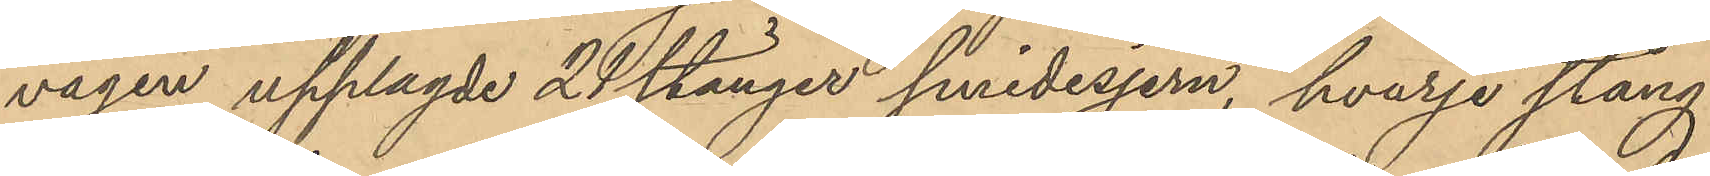vågen upplagde 21 stänger smidesjern, hvarje stång
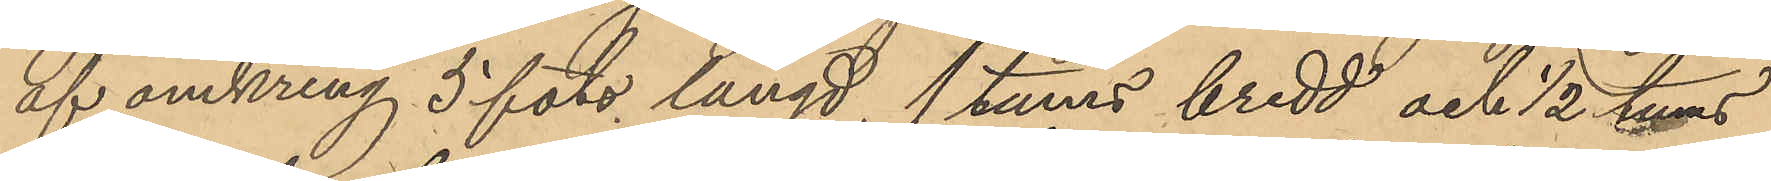af omkring 5 fots längd, 1 tums bredd och 1/2 tums
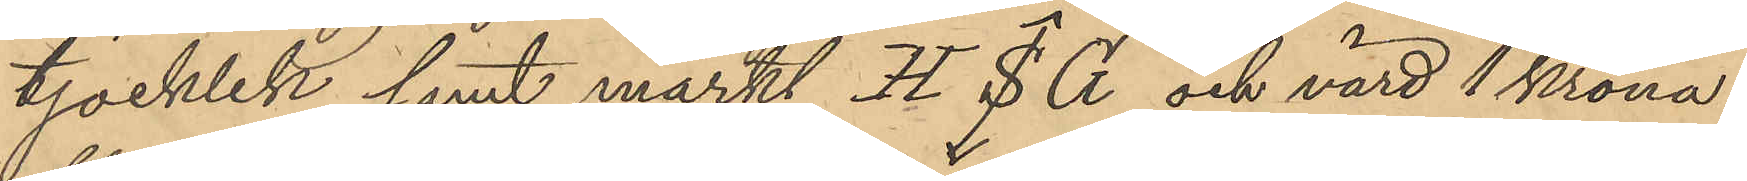tjocklek samt märkt H S G och värd 1 krona
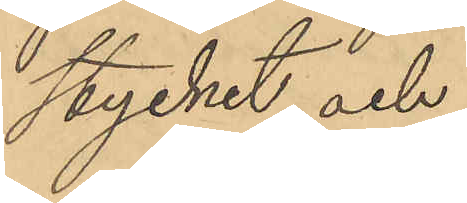stycket, och
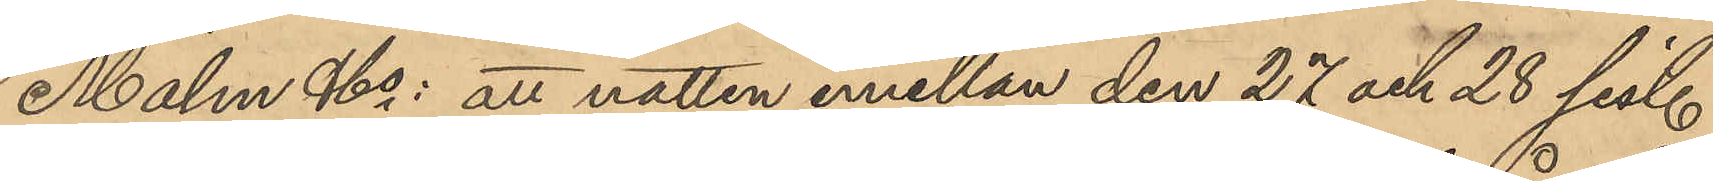Malm & Co: att natten emellan den 27 och 28 sist.
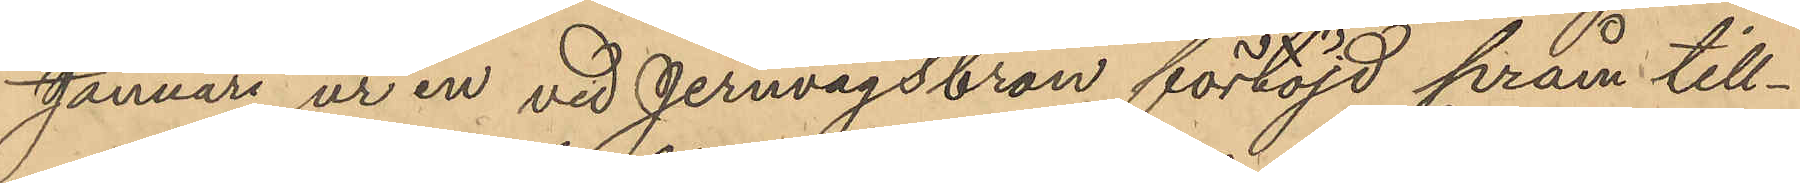Januari ur en vid Jernvågsbron förtöjd pråm till¬
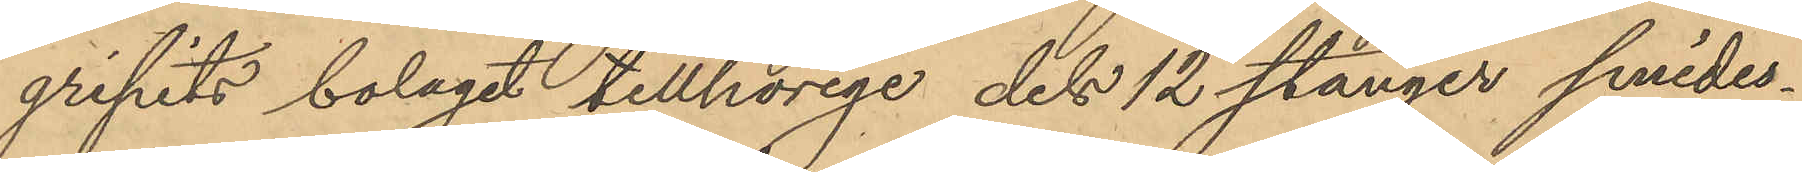gripits bolaget tillhörige dels 12 stänger smides¬
